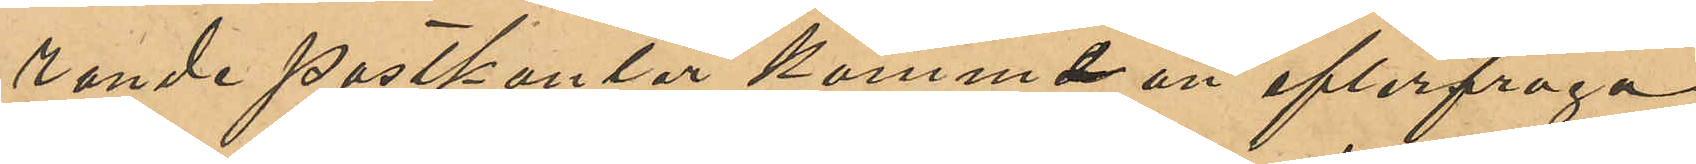rande postkontor kommer att efterfråga
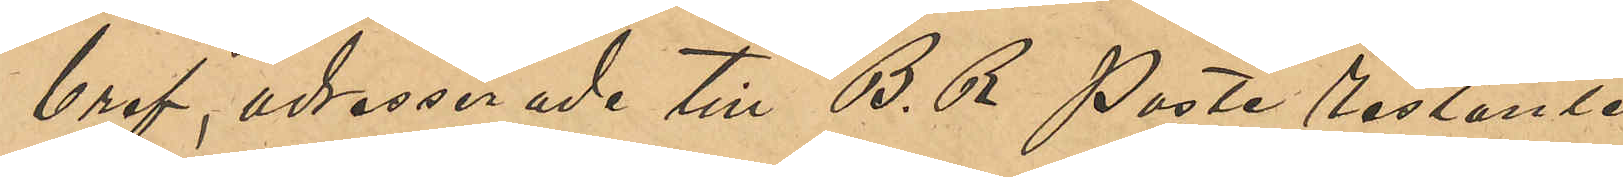bref, adresserade till "B. R Poste Restante
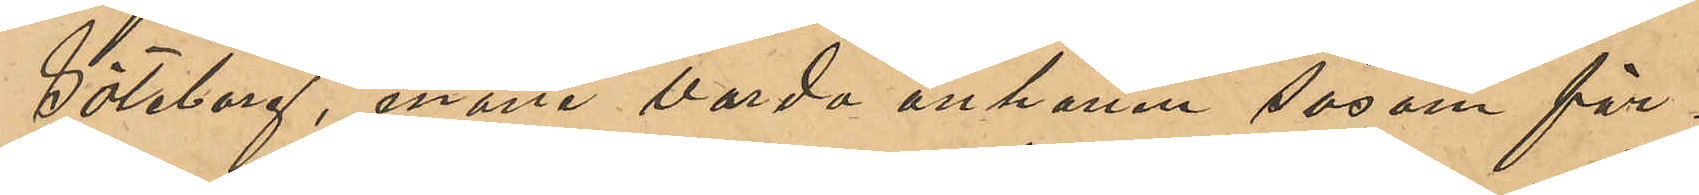Göteborg", måtte varda anhållen såsom för¬
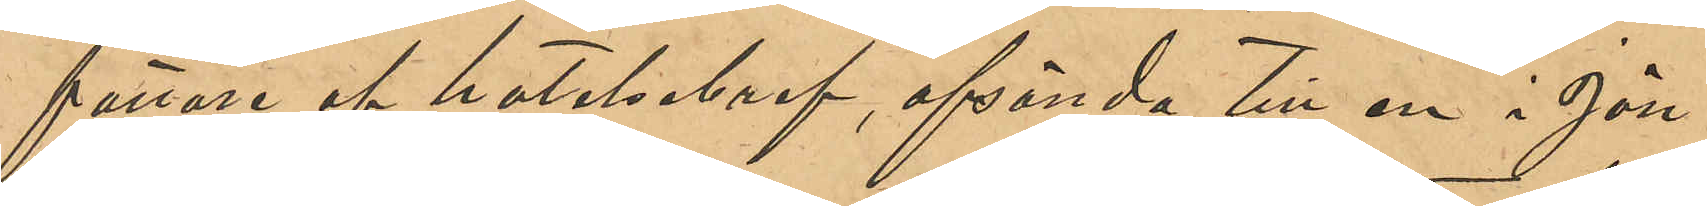fattare af hotelsebref, afsända till en i Jön¬
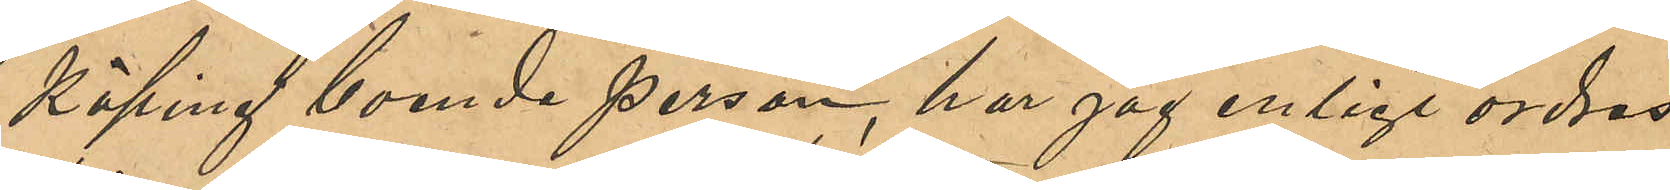köping boende person, har jag enligt order
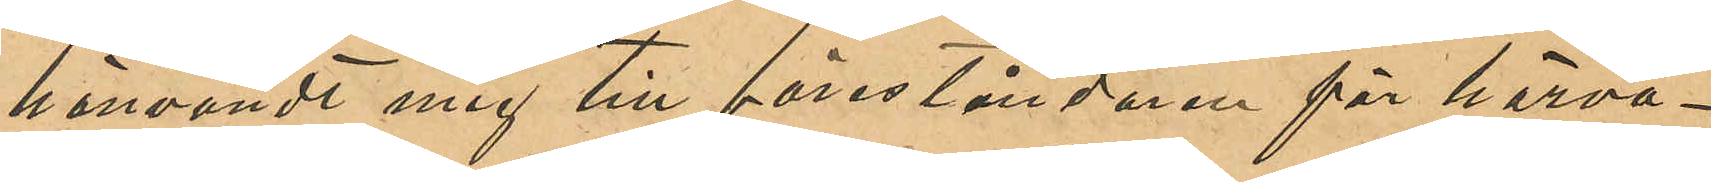hänvändt mig till föreståndaren för härva¬
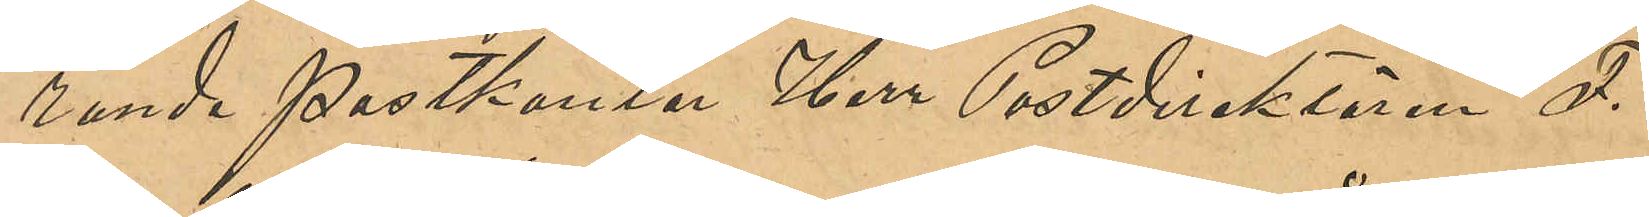rande Postkontor Herr Postdirektören F.
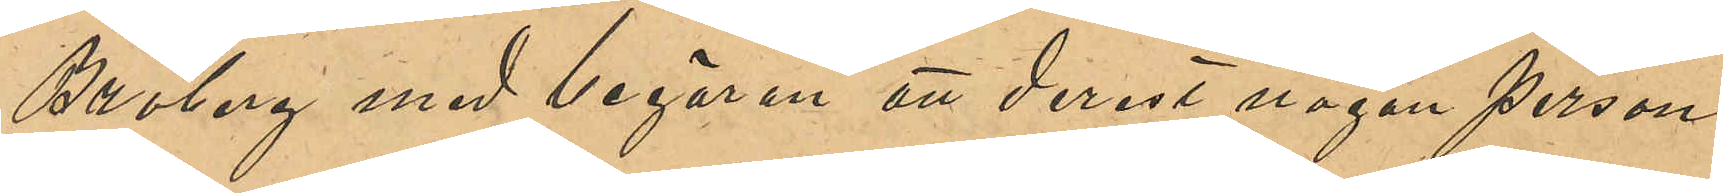Broberg med begäran att derest någon person
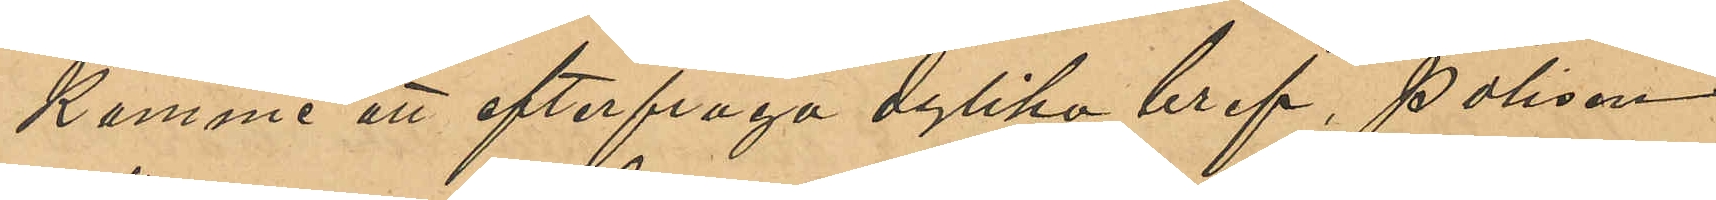komme att efterfråga dylika bref, polisen
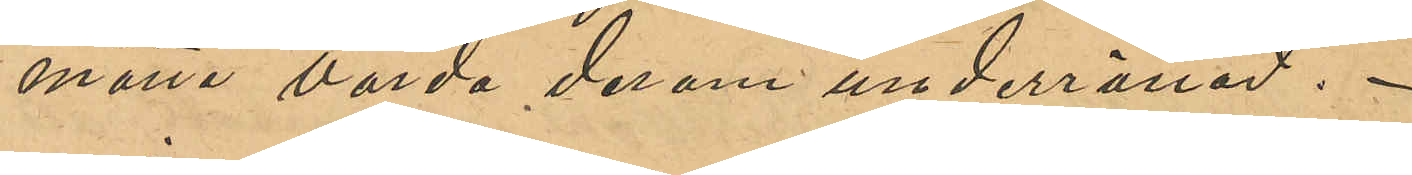måtte varda derom underrättad.
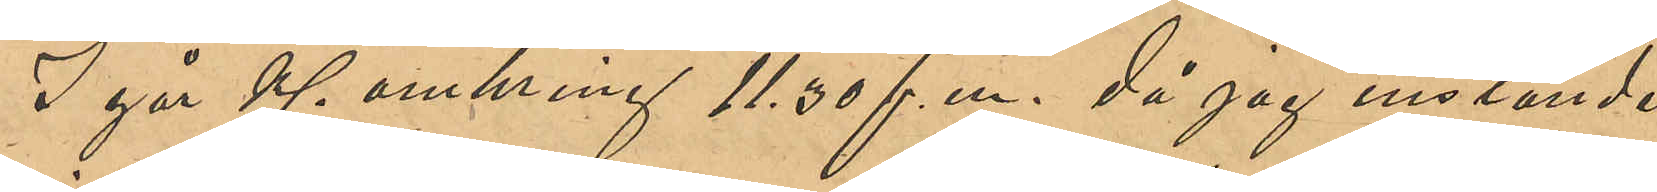I går Kl omkring 11,30 f. m. då jag inställde
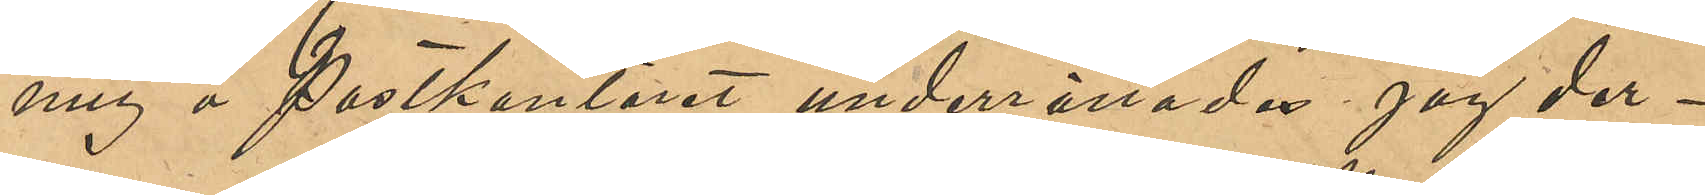mig å Postkontoret underrättades jag der¬
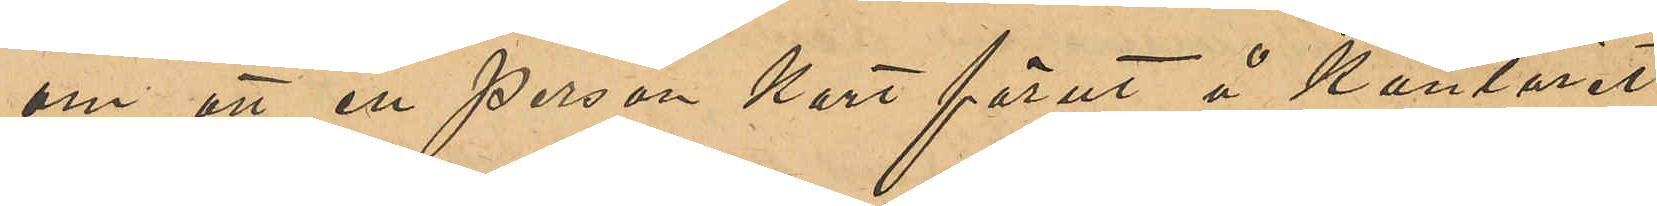om att en person kort förut å Kontoret
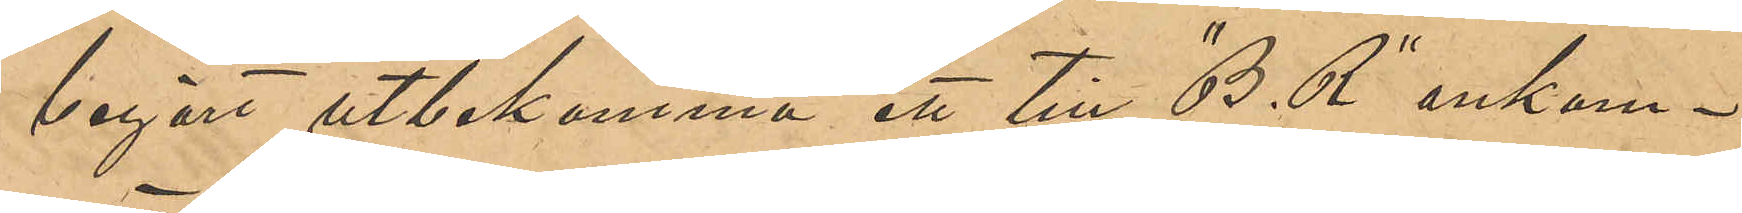begärt utbekomma ett till "B. R" ankom¬
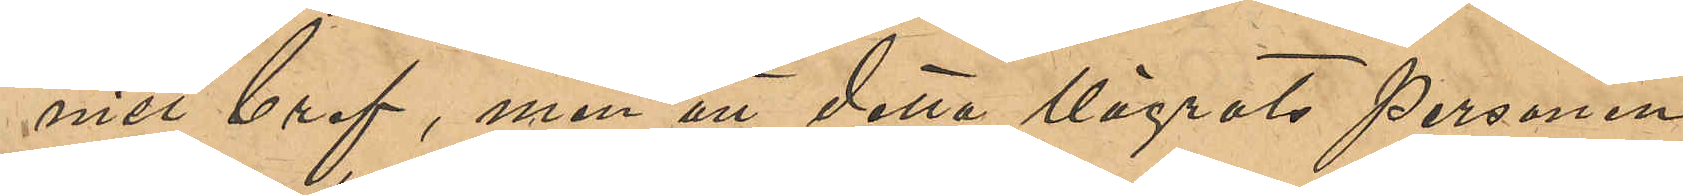met bref, men att detta vägrats personen
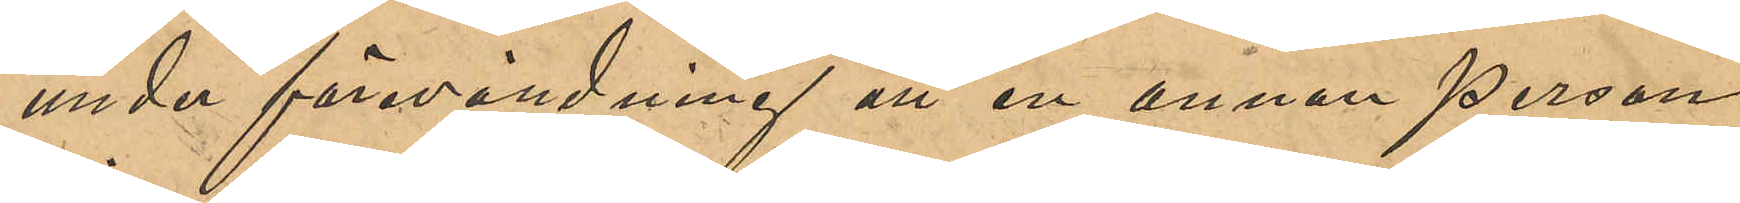under förevändning att en annan person
